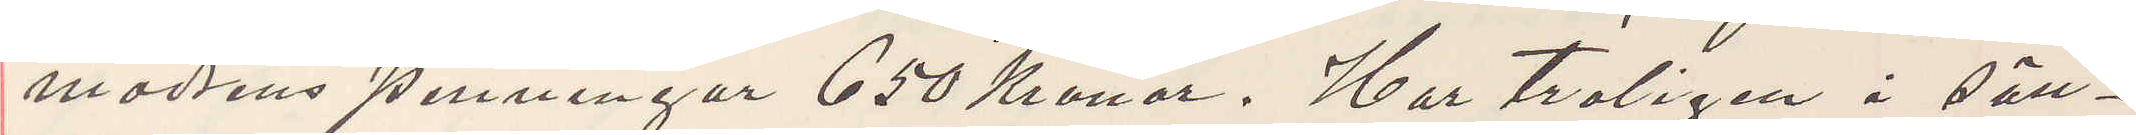modrens penningar 650 Kronor. Har troligen i säll¬
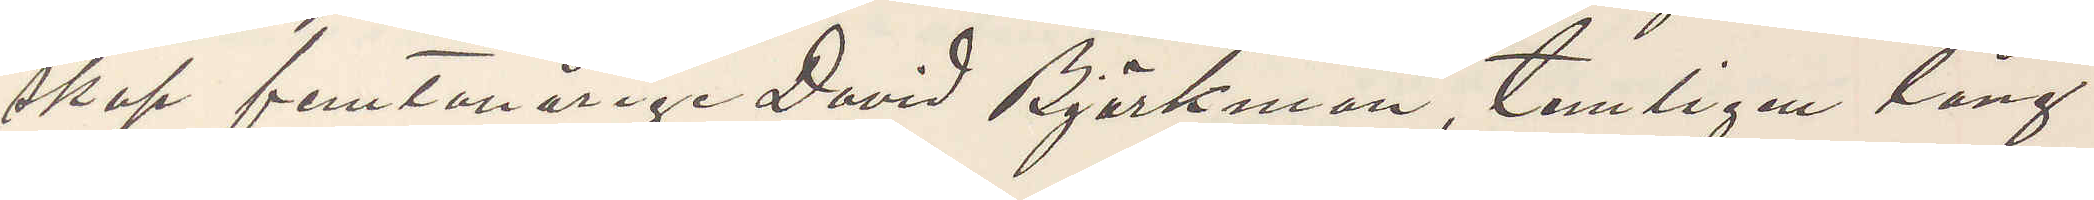skap femtonårige David Björkman, temligen lång
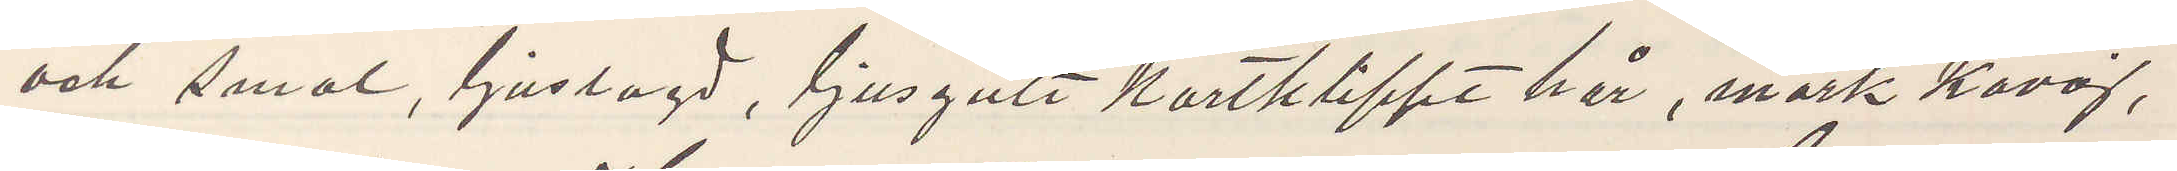och smal, ljuslagd, ljusgult kortklippt hår, mörk kavaj,
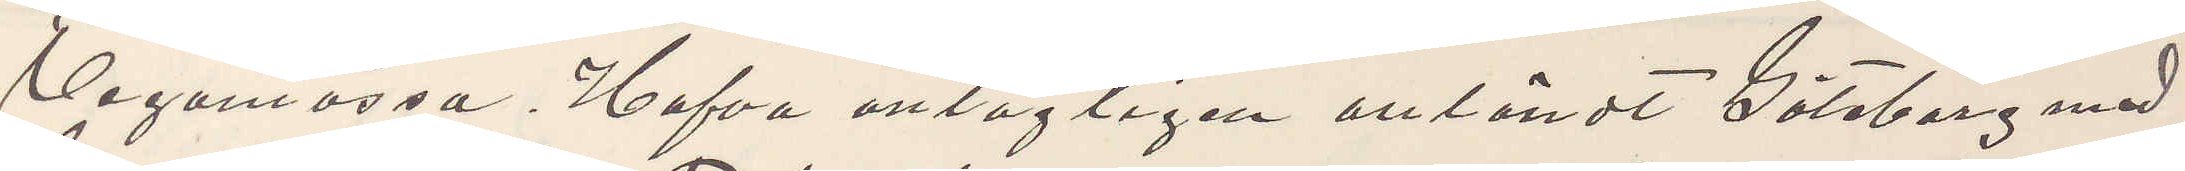Vegamossa. Hafva antagligen anländt Göteborg med
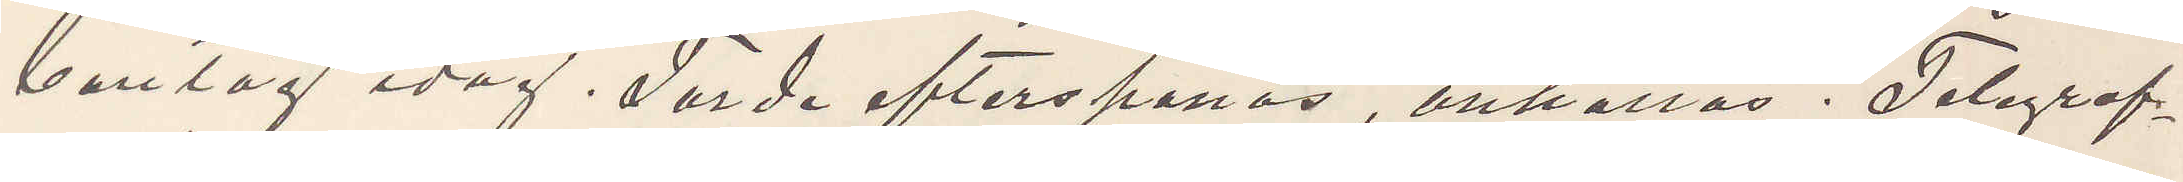bantåg idag. Torde efterspanas, anhållas. Telegraf¬
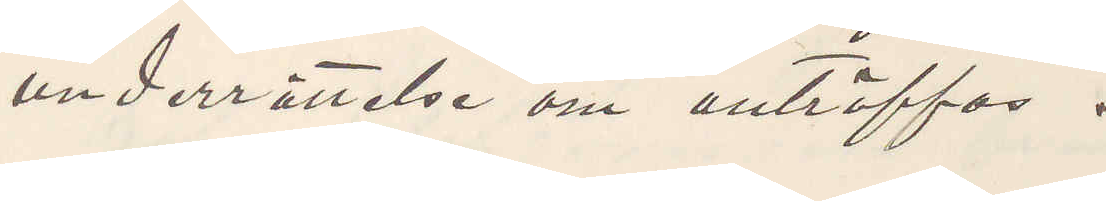underrättelse om anträffas.
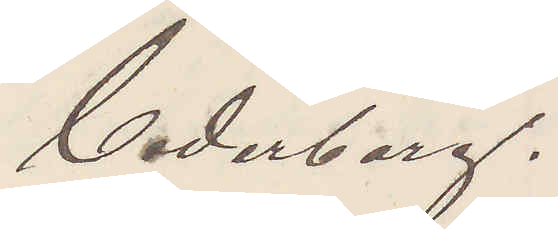Cederborg.
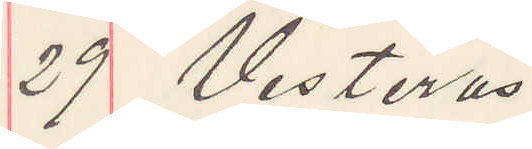29 Vesterås
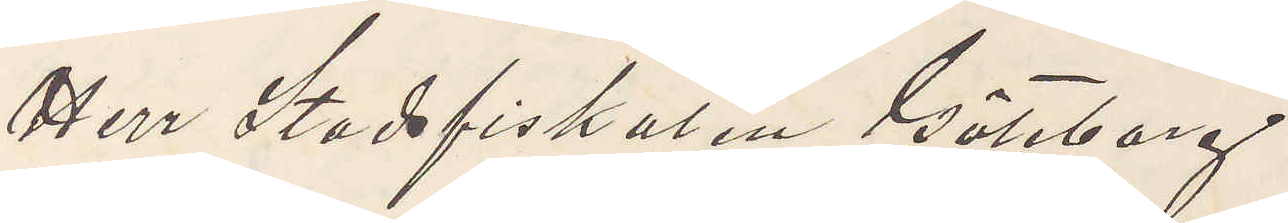Herr Stadsfiskalen Göteborg
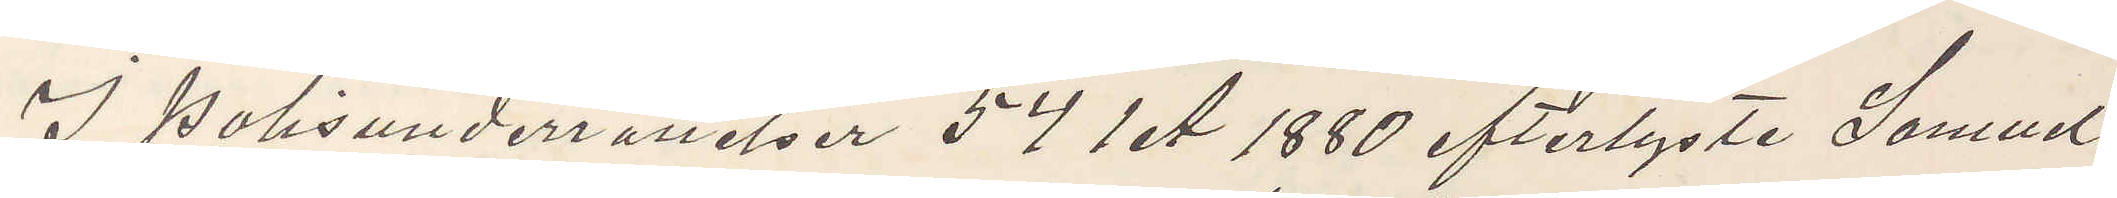I Polisunderrättelser 54 1 A 1880 efterlyste Samuel
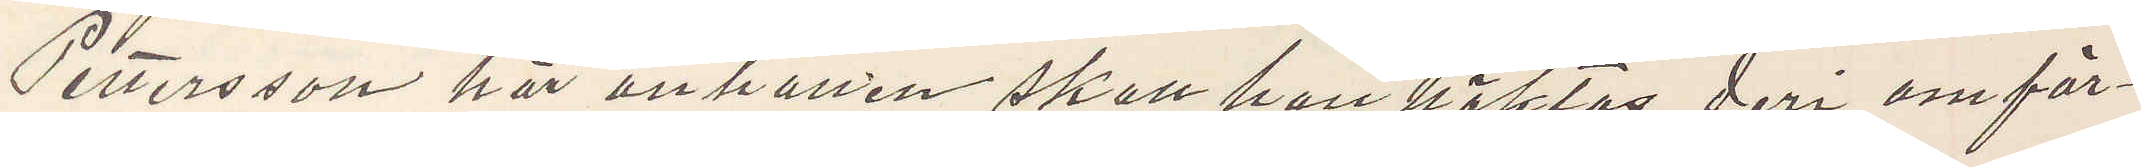Pettersson här anhållen skall han häktas deri omför¬
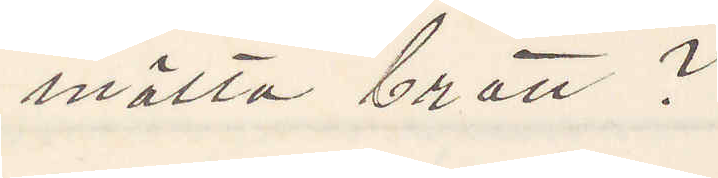mälta brott?
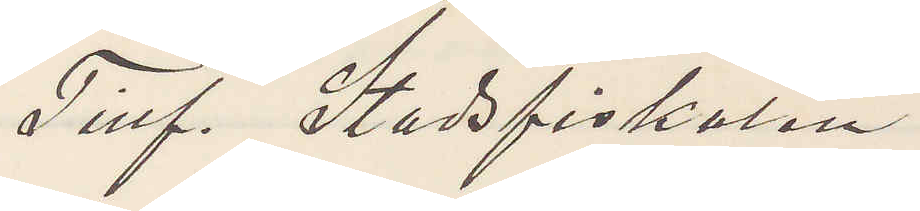Tillf. Stadsfiskalen
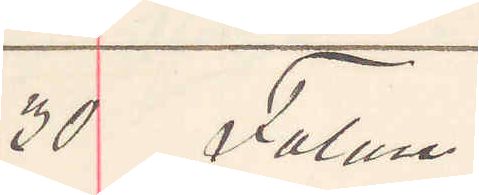30 Falun.
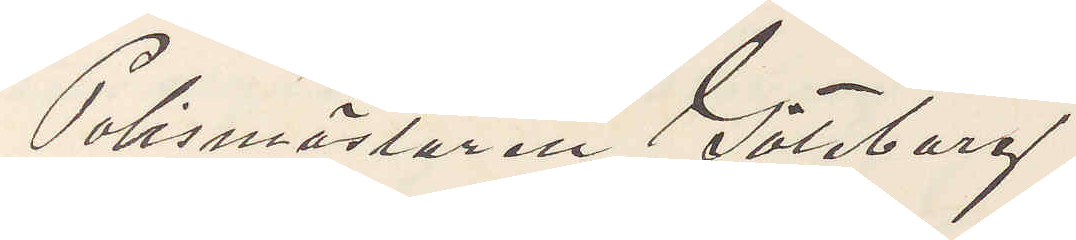Polismästaren Göteborg.
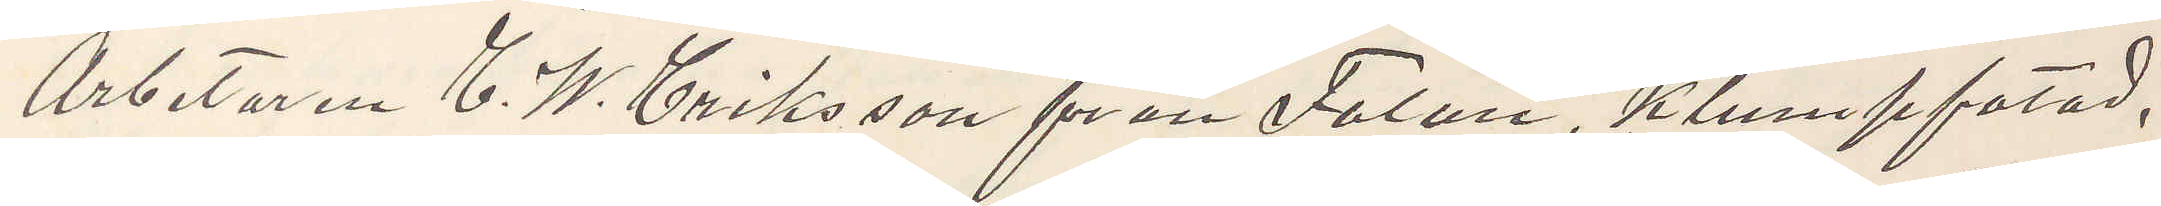Arbetaren C. W. Eriksson från Falun, klumpfotad,
